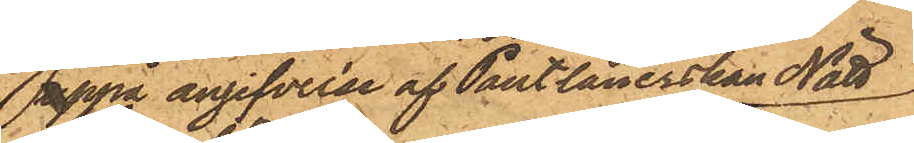uppå angifvelse af Pantlånerskan Nätt
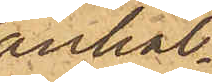anhål¬
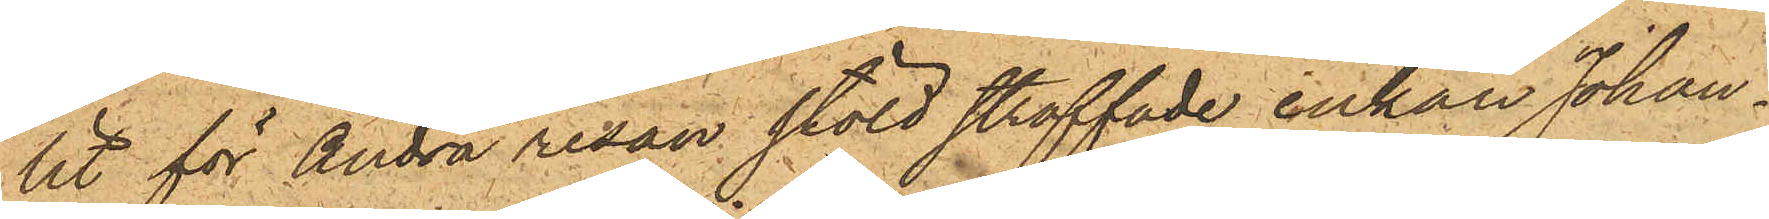lit för andra resan stöld straffade enkan Johan¬
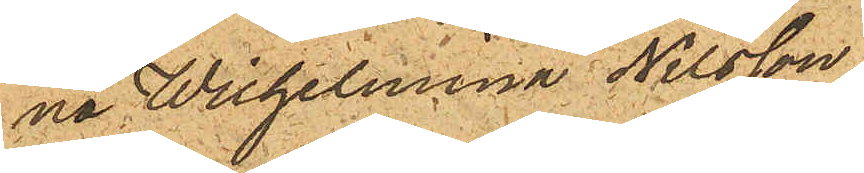na Wilhelmina Nilsson,
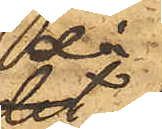då
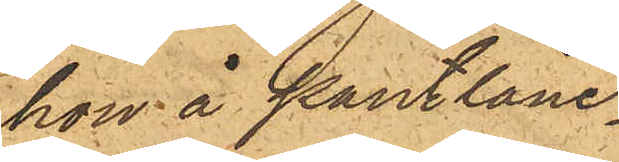hon å Pantlåne¬
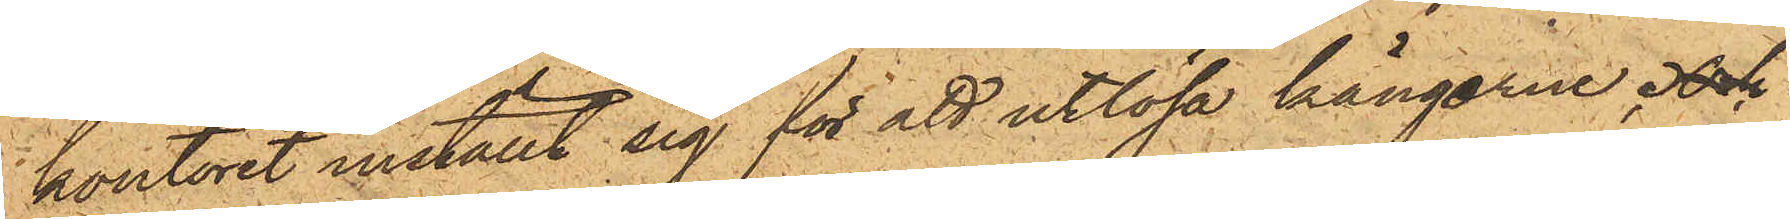kontoret inställt sig för att utlösa kängerne.   
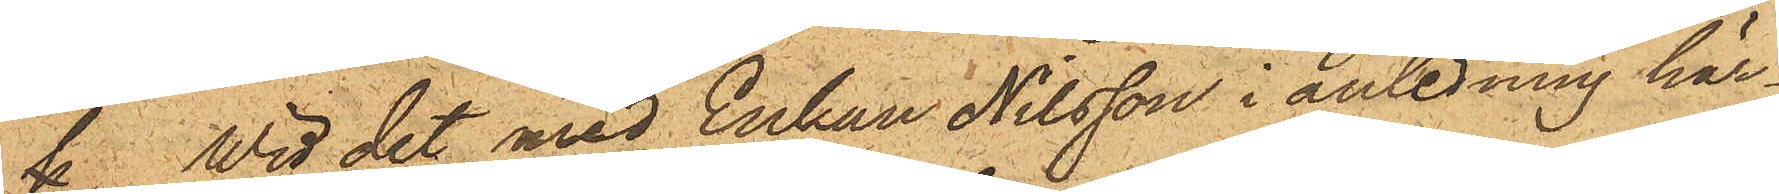 Wid det med Enkan Nilsson i anledning här¬
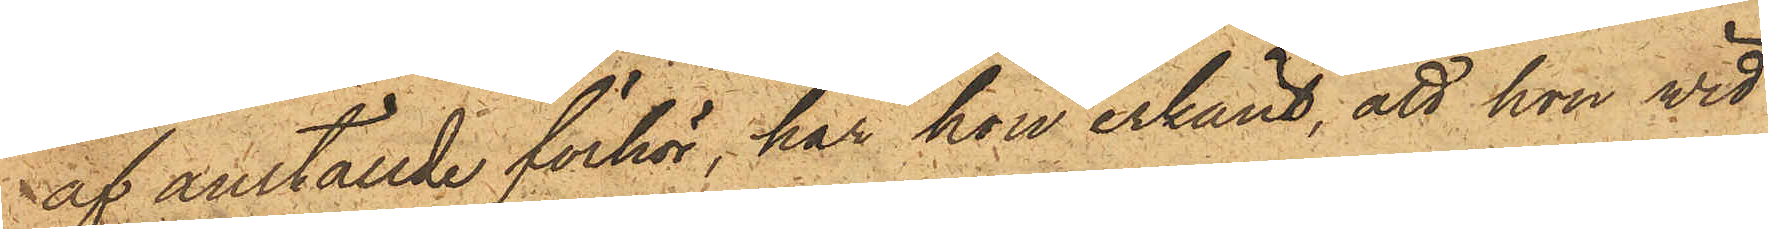af anställde förhör, har hon erkänt, att hon vid
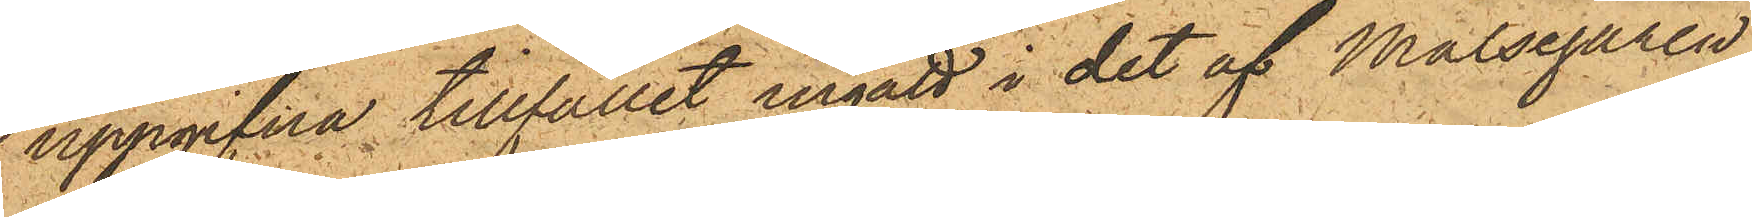uppgifna tillfället ingått i det af Målsegaren
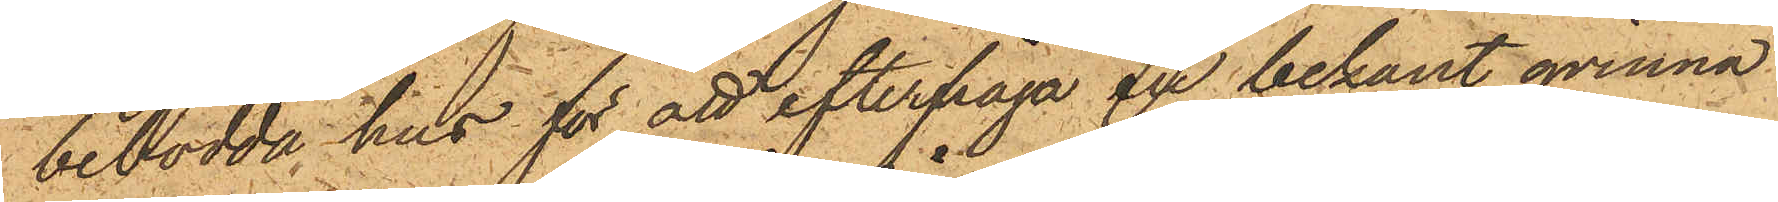bebodde hus för att efterfråga en bekant qvinna
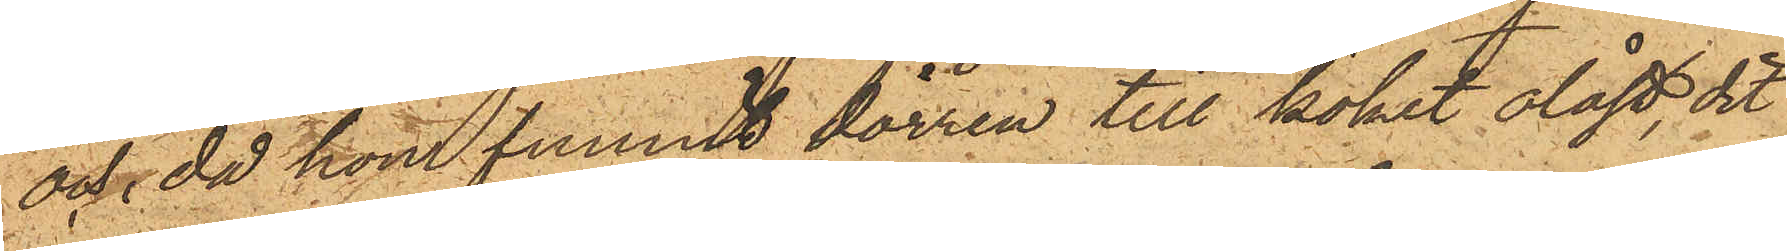och, då hon funnit dörren till köket olåst, dit
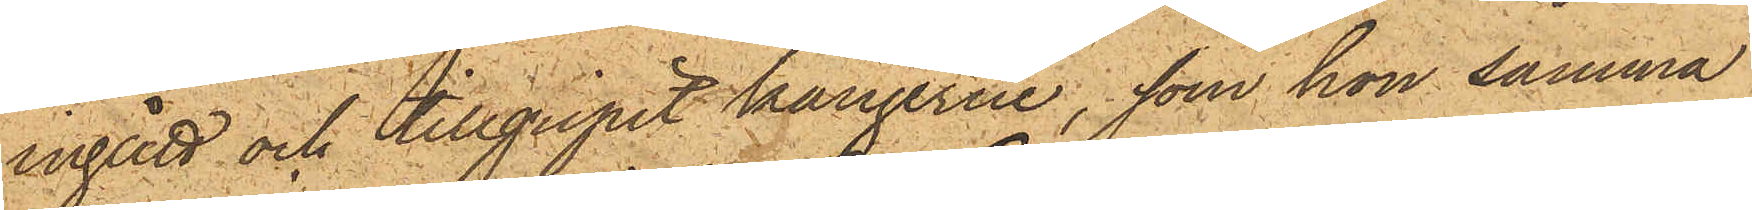ingått och tillgripit kängerne, som hon samma
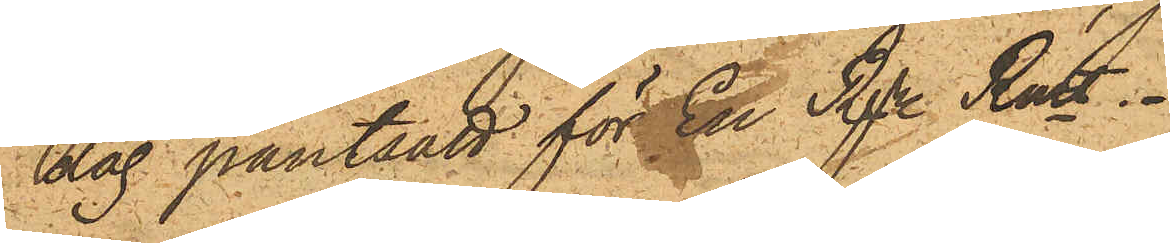dag pantsatt för En Rdr Rmt.
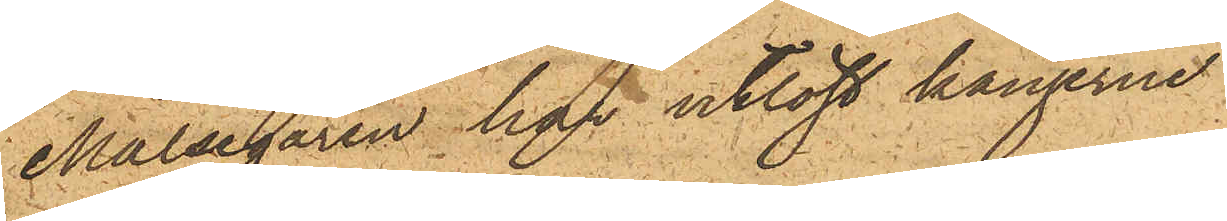Målsegaren har utlöst kängerne
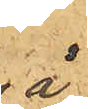å
